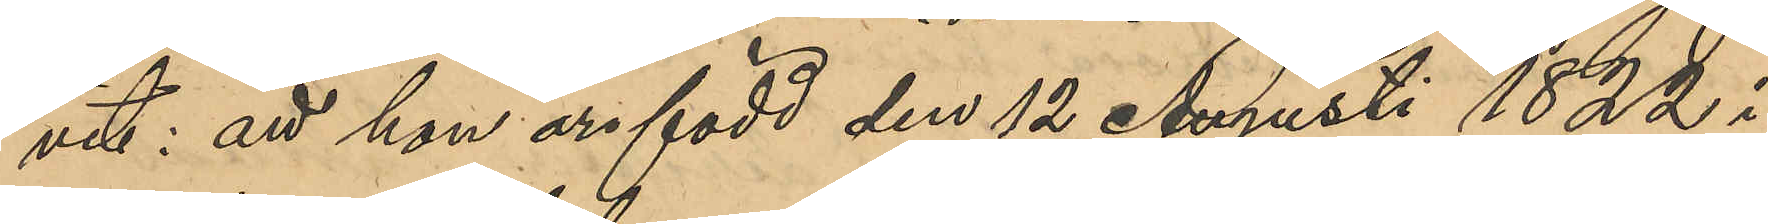vit: att hon är född den 12 Augusti 1822 i
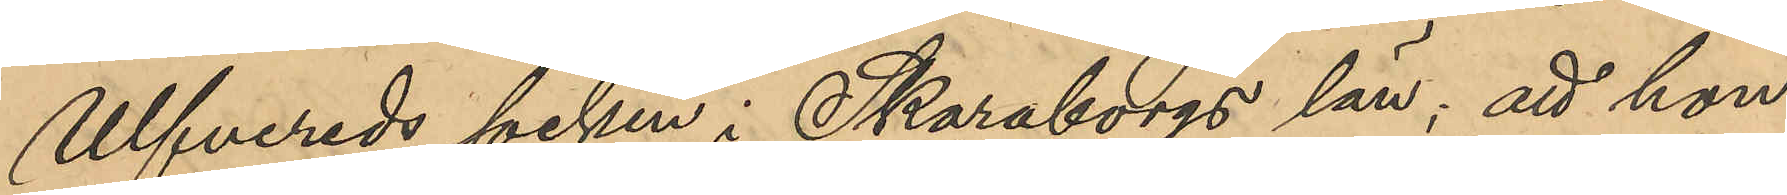Ulfvereds socken i Skaraborgs län; att hon
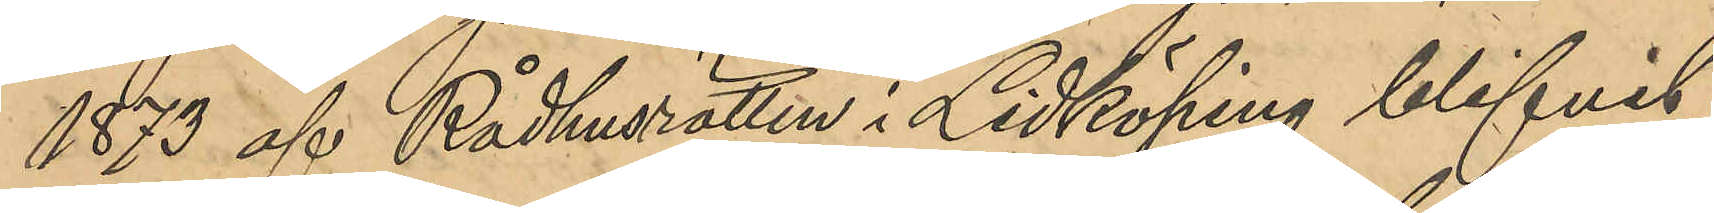1873 af Rådhusrätten i Lidköping blifvit
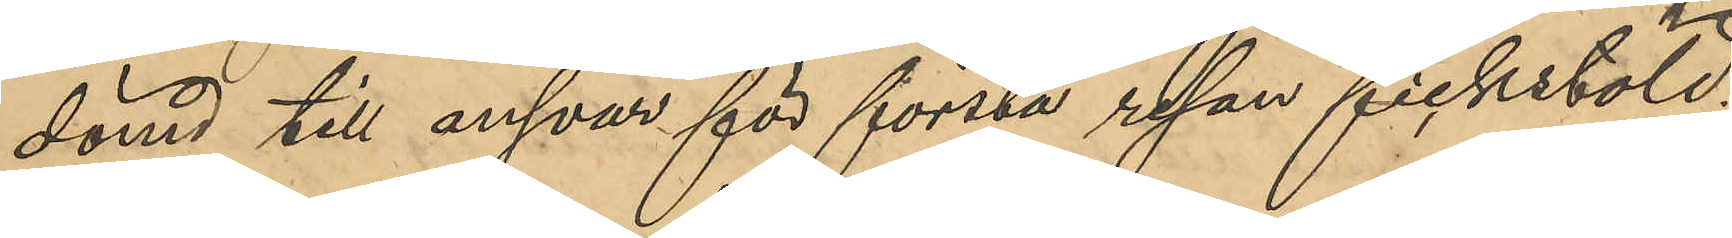dömd till ansvar för första resan fickstöld;
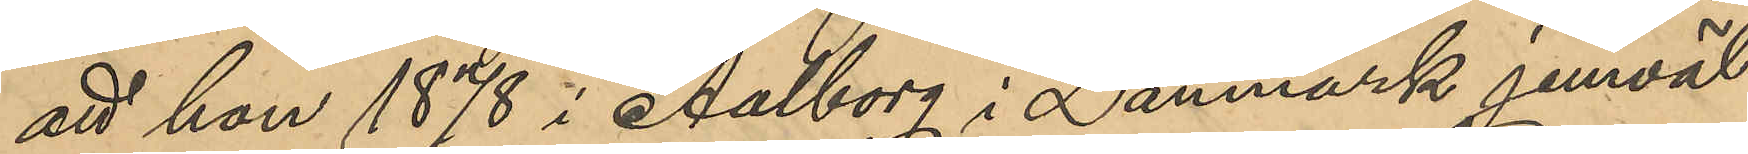att hon 1878 i Aalborg i Danmark jemväl
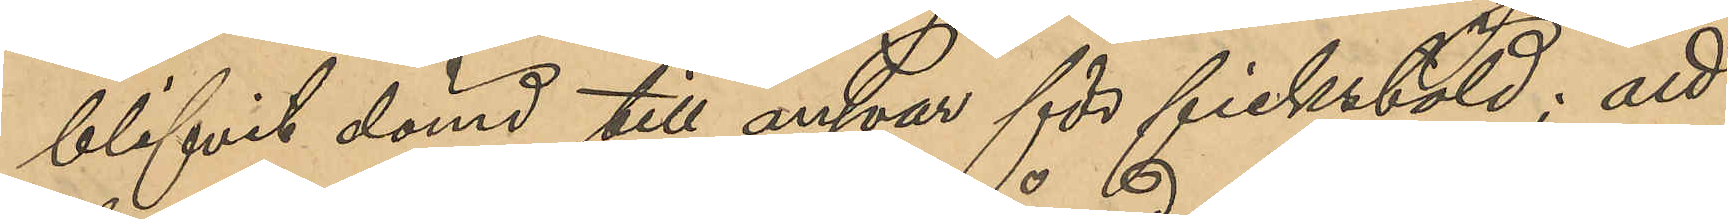blifvit dömd till ansvar för fickstöld; att
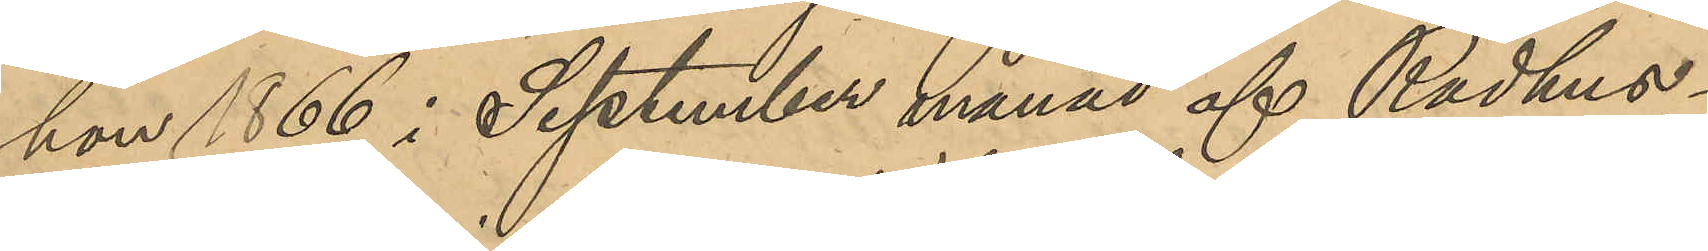hon 1866 i September månad af Rådhus¬
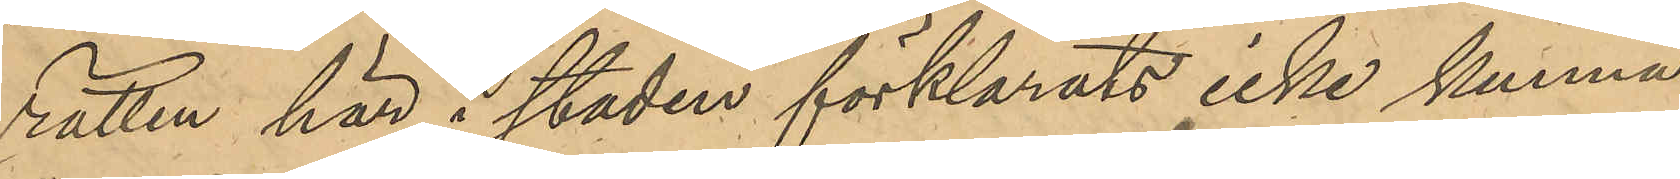rätten här i staden förklarats icke kunna
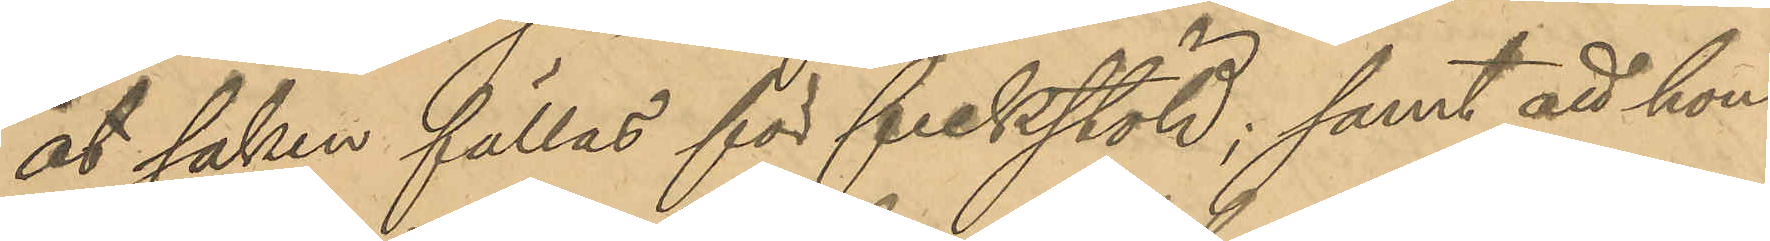åt saken fällas för fickstöld; samt att hon
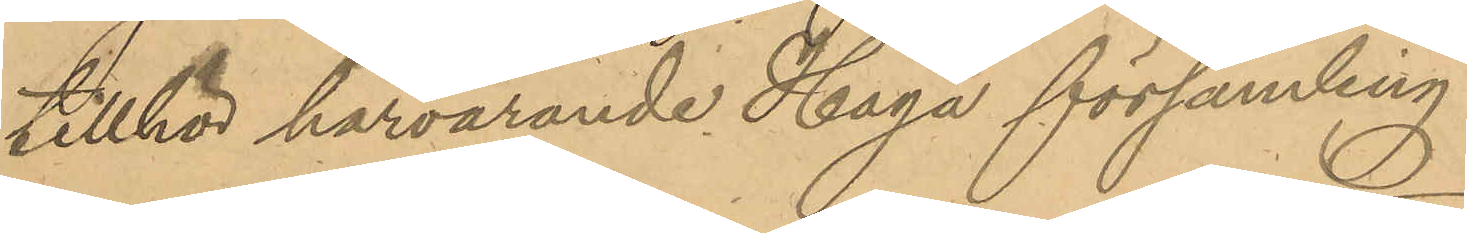tillhör härvarande Haga församling.
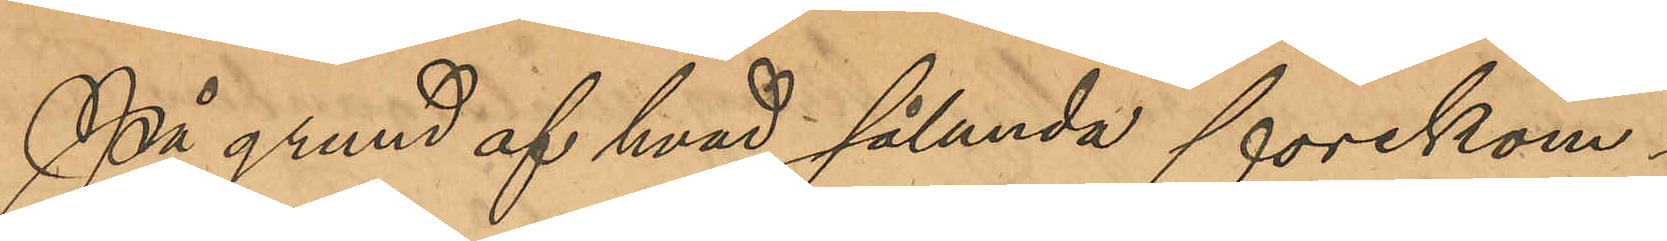På grund af hvad sålunda förekom¬
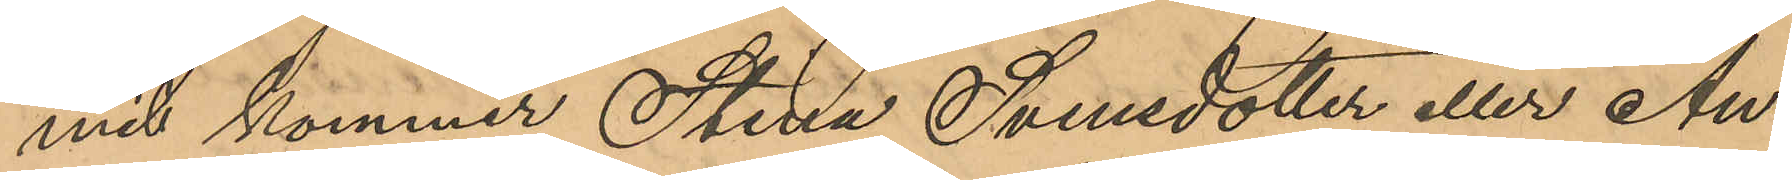mit kommer Stina Svensdotter eller An¬
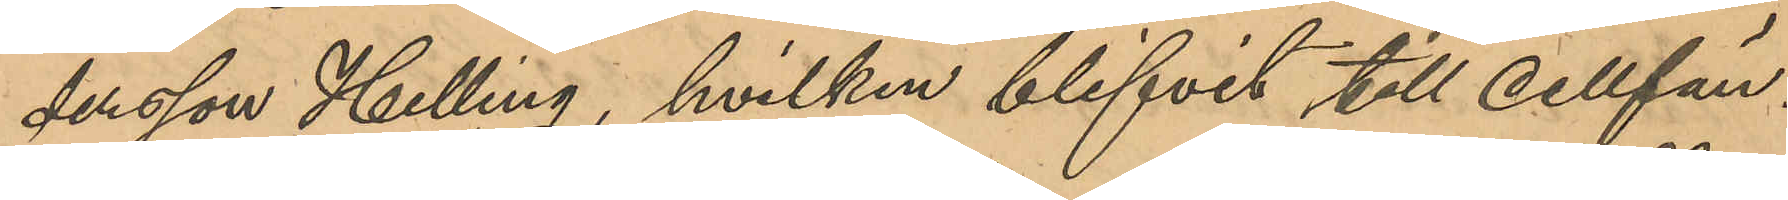dersson Helling, hvilken blifvit till cellfän¬
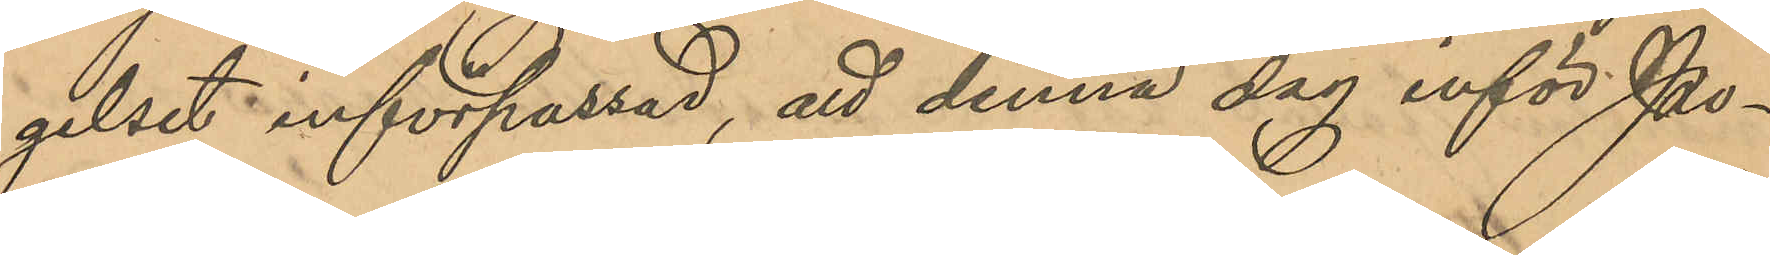gelset införpassad, att denna dag inför Po¬
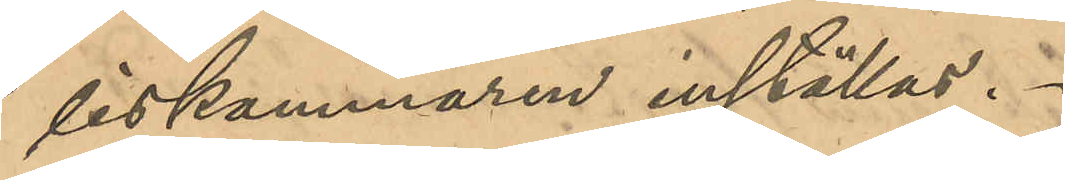liskammaren inställas.
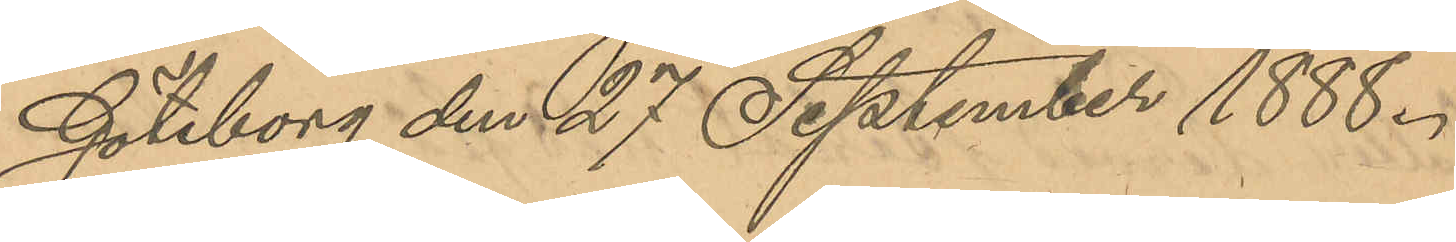Göteborg den 27 September 1888.
